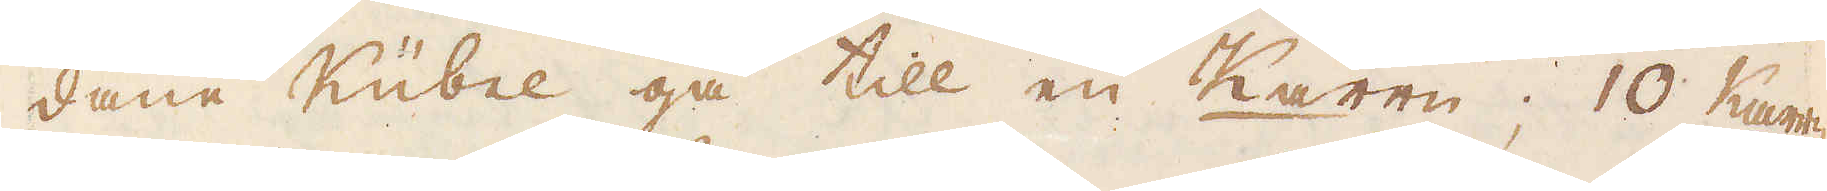dane Kübel gå till en Karen; 10 Karre
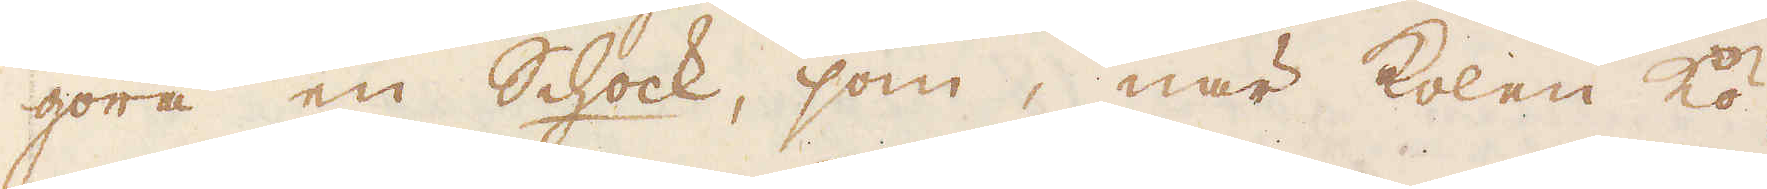göra en Schock, som, när kolen kö-
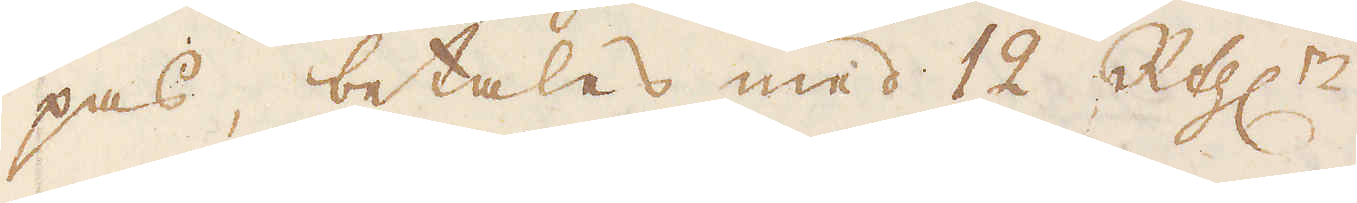pas, betales med 12 R:thlr.
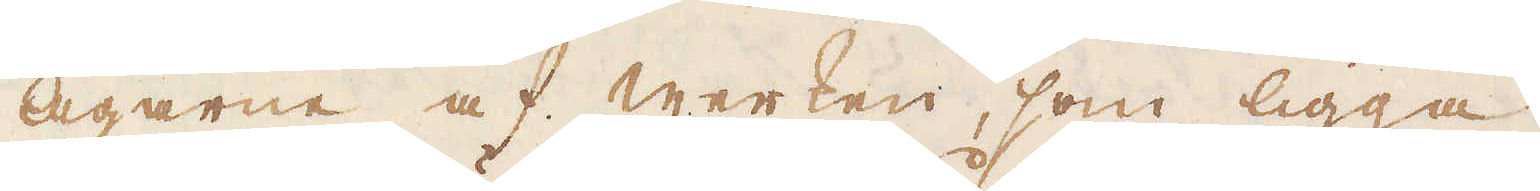Ägarne af werken, som ligga
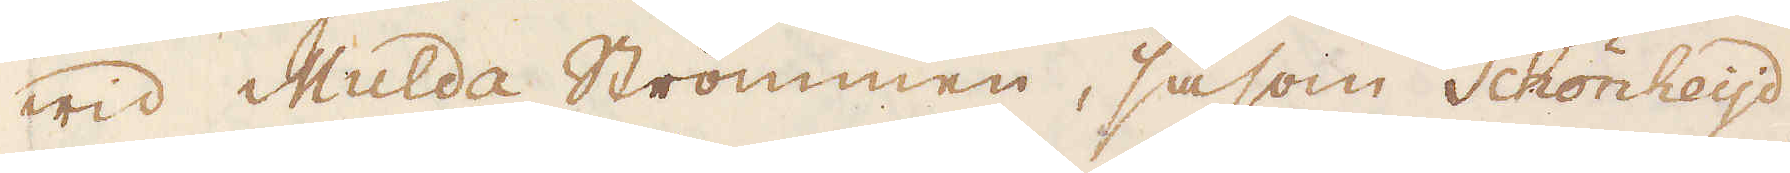wid Mulda Strömmen, såsom Schönheijd,
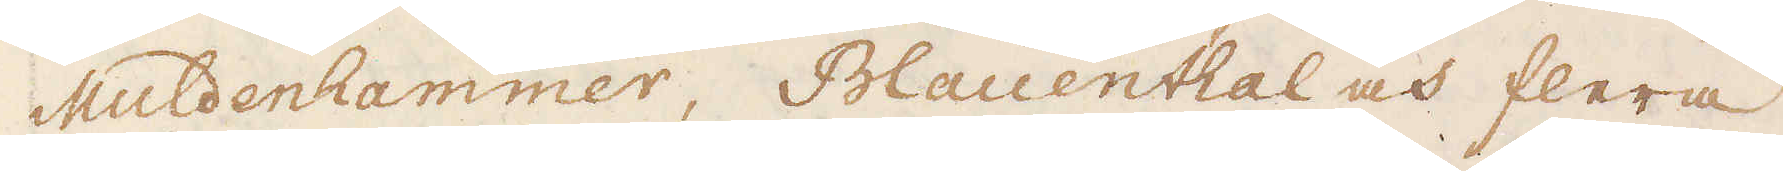Muldenhammer, Blauenthal och flera
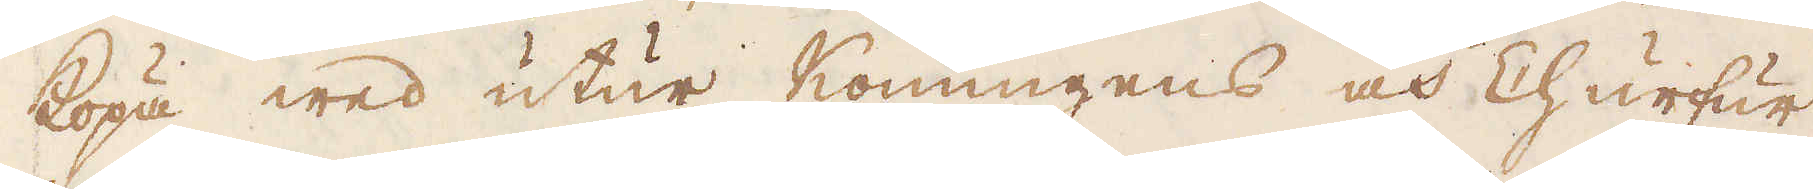köpa wed utur Konungens och Churfur-
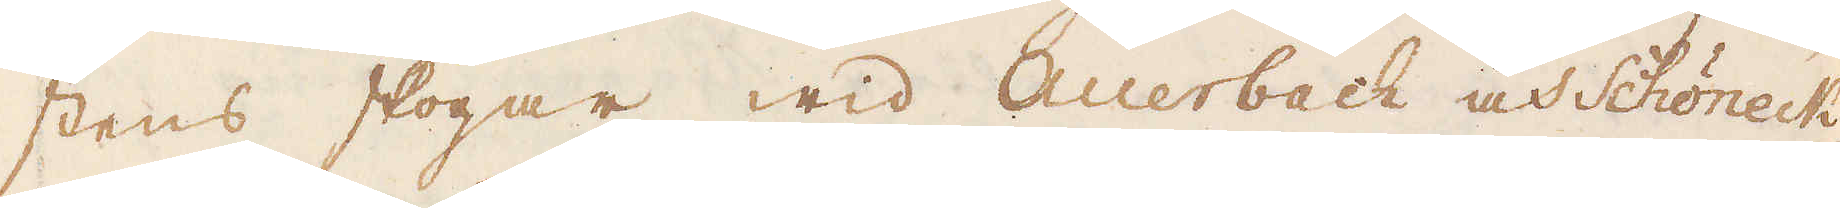stens skogar wid Auerbach och Schöneck,
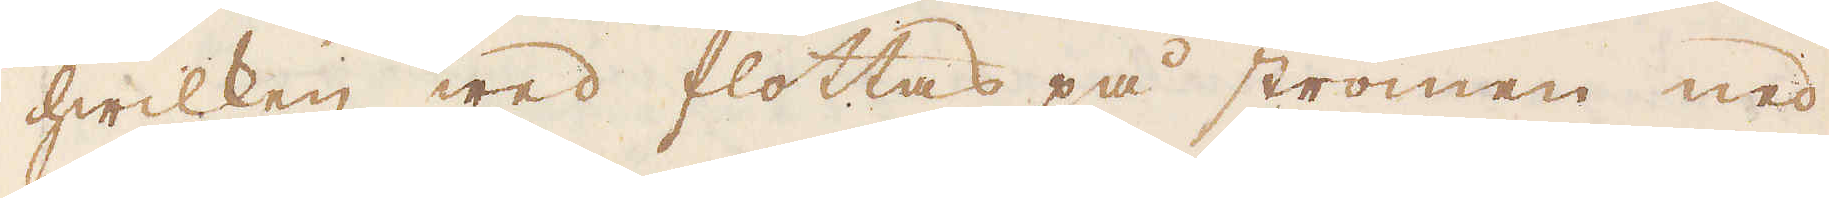hwilken wed flottas på strömen ned
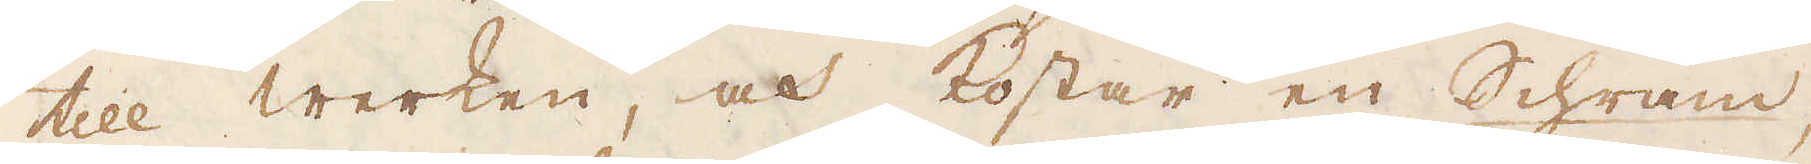till werken, och kostar en Schram,
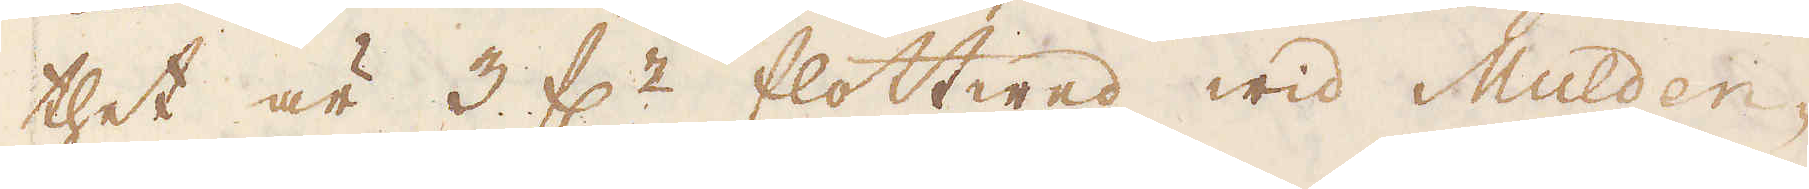thet är 3 f:r flottwed wid Mulden-
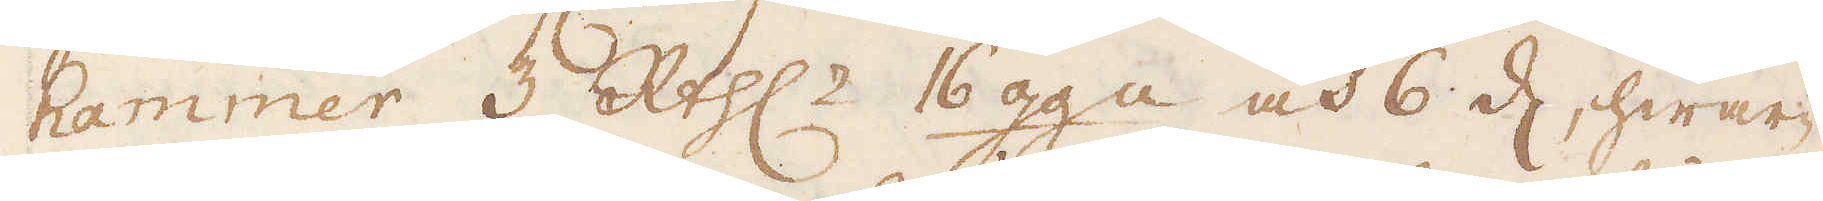hammer 3 R:thlr 16 gg:n och 6 d, hwar-
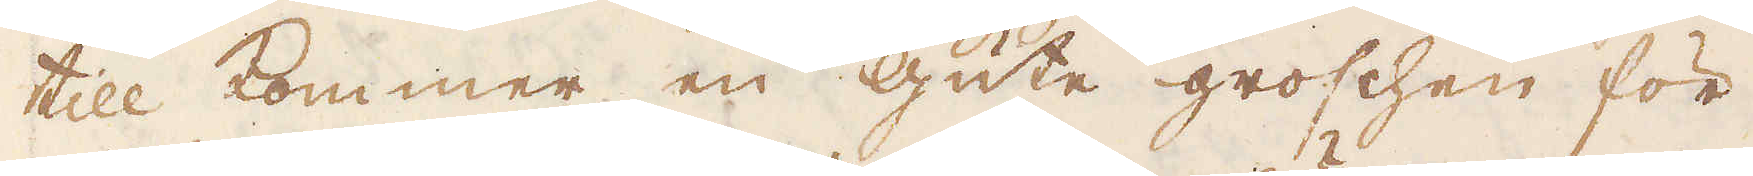till kommer en gute groschen för
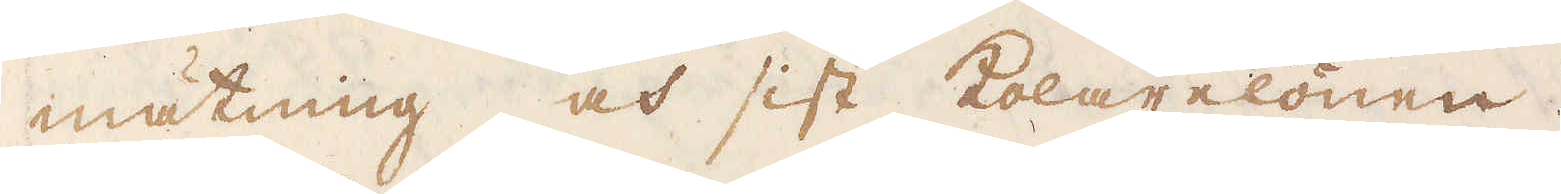mätning och sist kolarelönen.
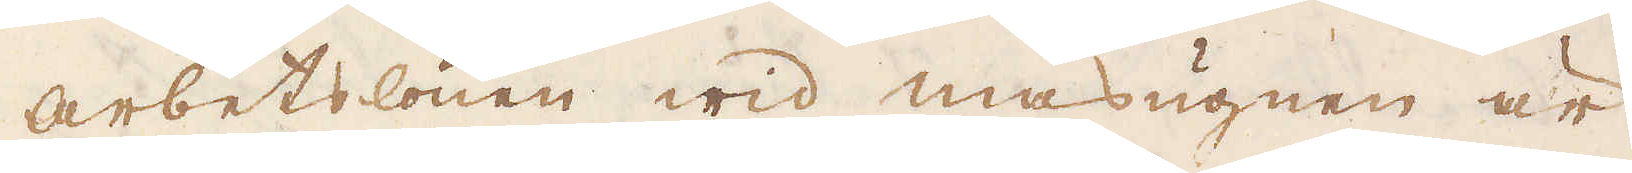Arbetslönen wid masugnen är
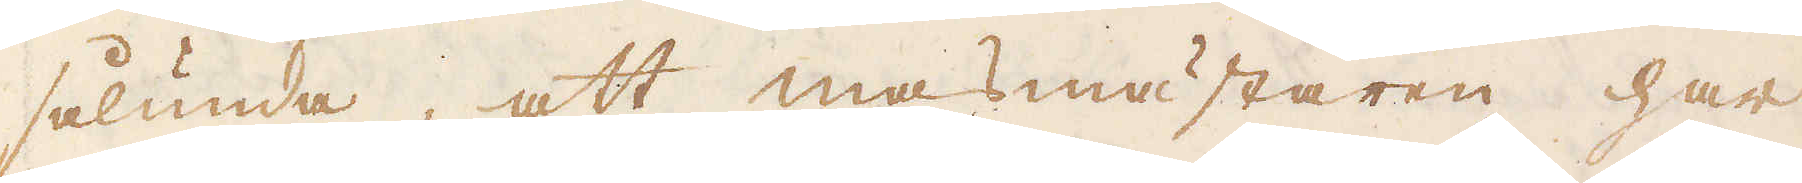sålunda, att masmästaren har
